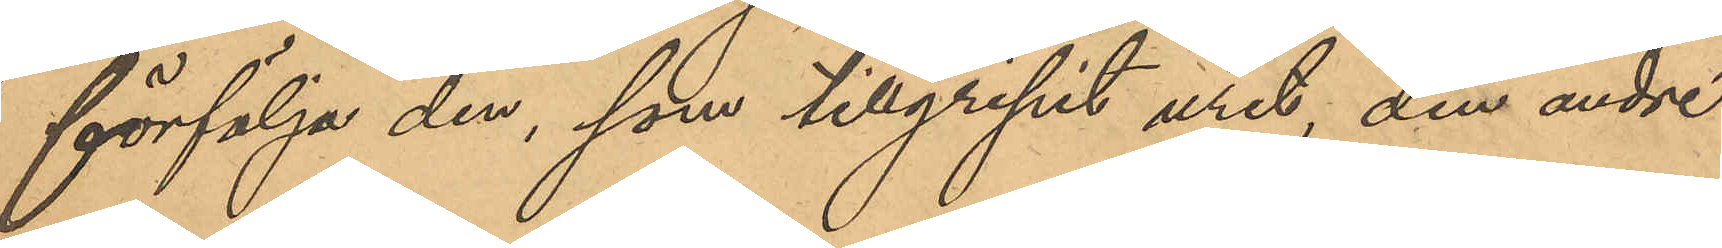förfölja den, som tillgripit uret, den andre
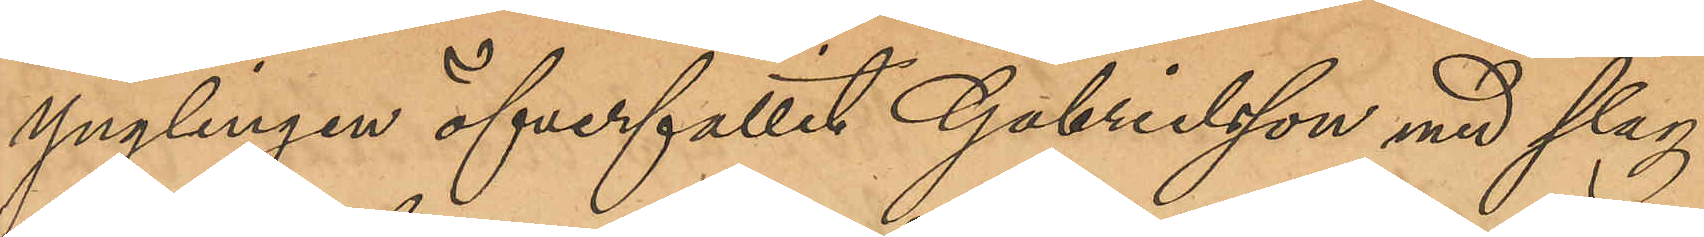ynglingen öfverfallit Gabrielsson med slag
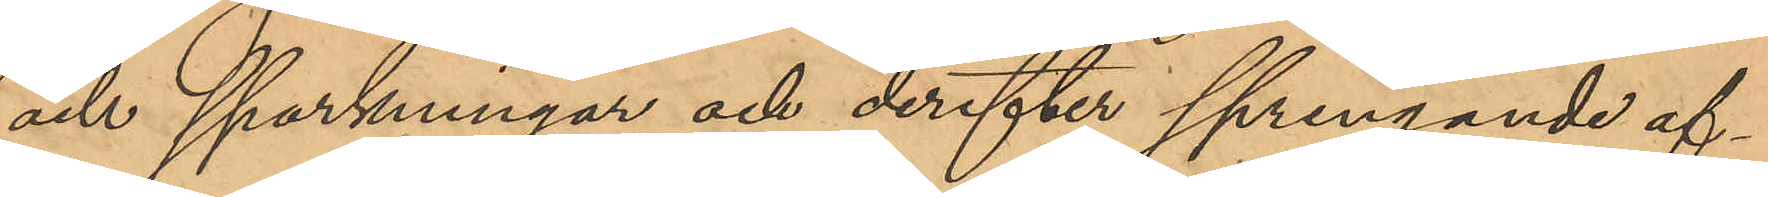och sparkningar och derefter springande af¬
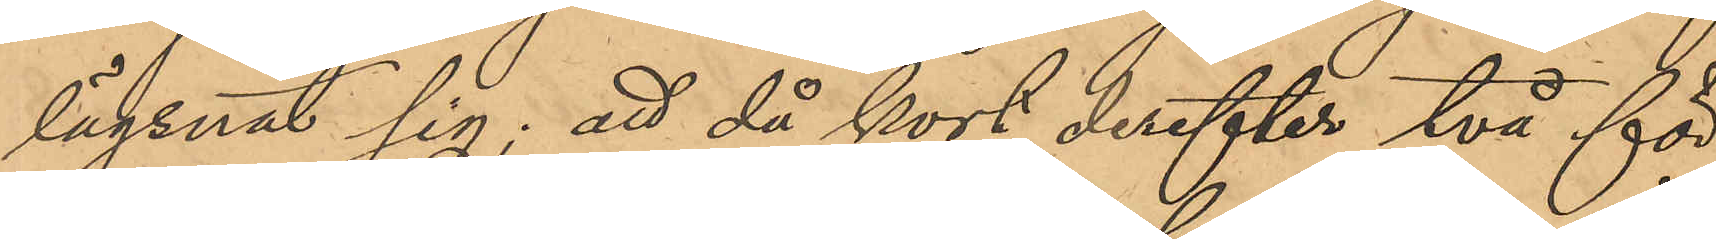lägsnat sig; att då kort derefter två för
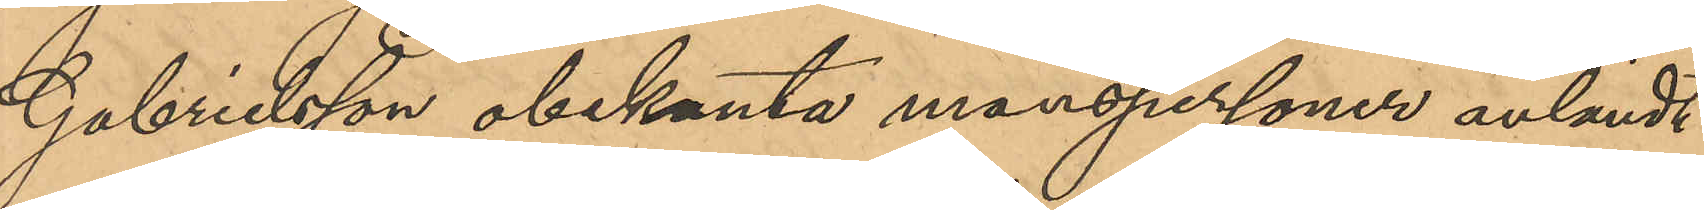Gabrielsson obekanta manspersoner anländt
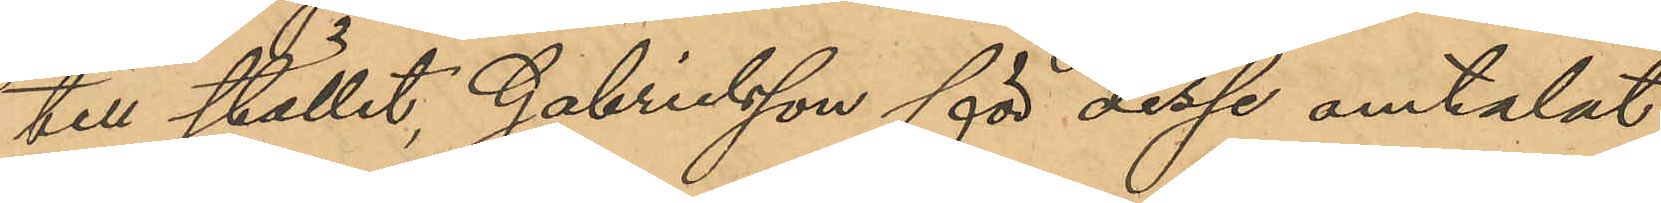till stället, Gabrielsson för desse omtalat
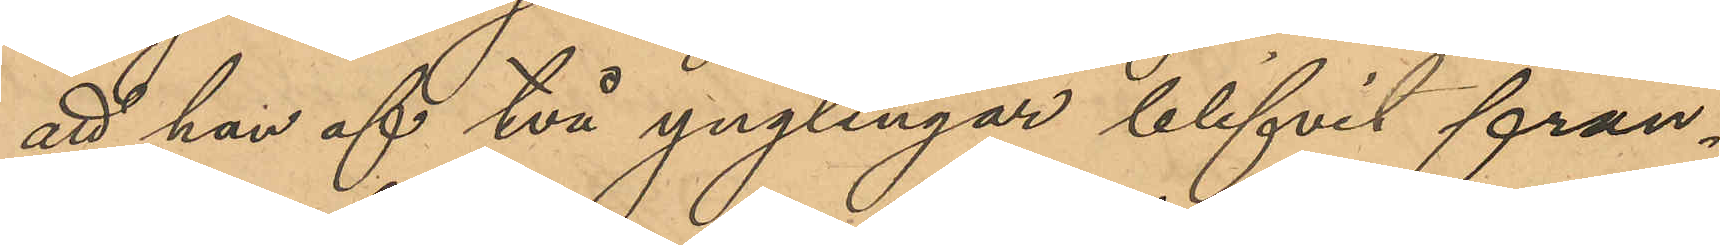att han af två yunglingar blifvit från¬
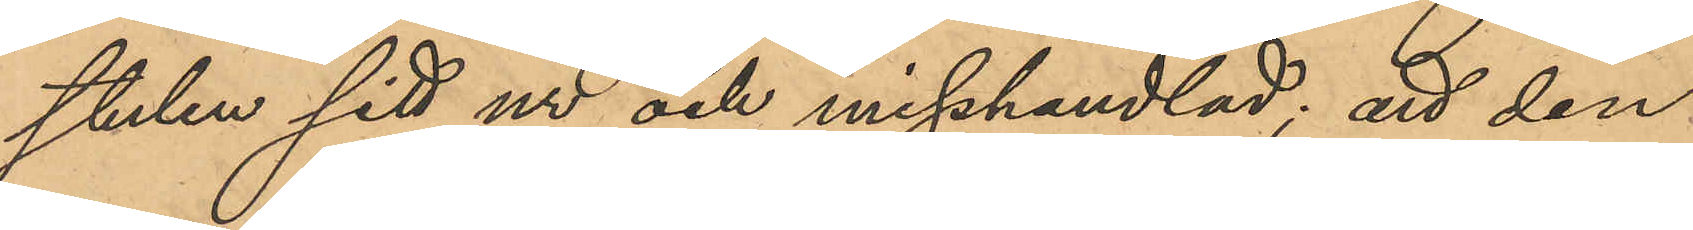stulen sitt ur och misshandlad; att den
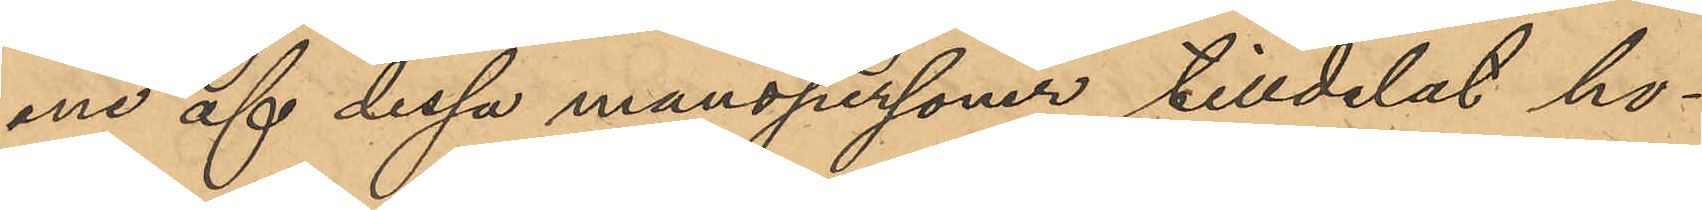ene af dessa manspersoner tilldelat ho¬
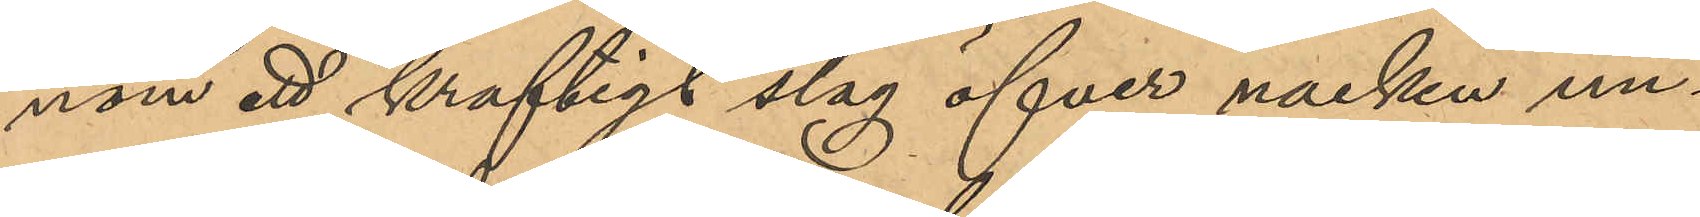nom ett kraftigt slag öfver nacken un¬
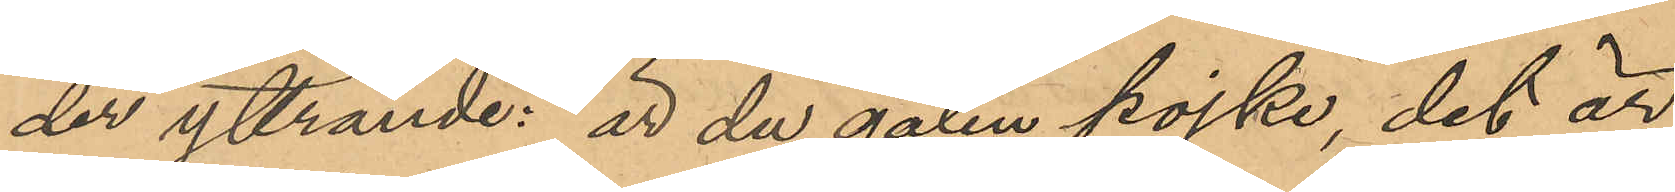der yttrande: "är du galen pojke, det är
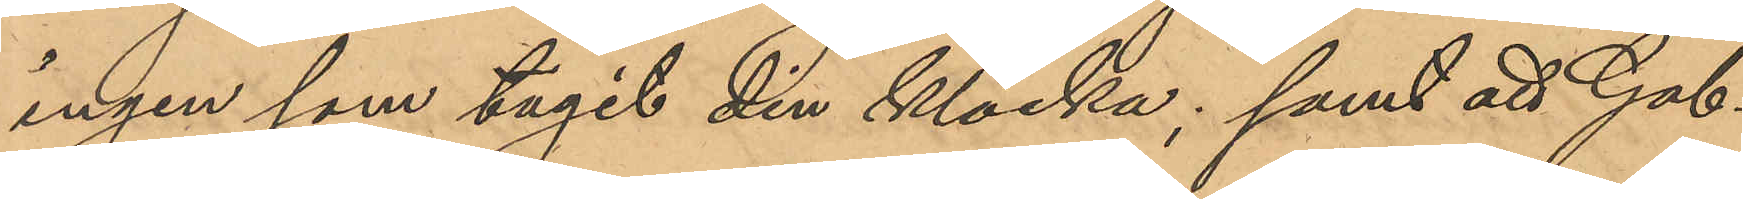ingen som tagit din klocka; samt att Gab¬
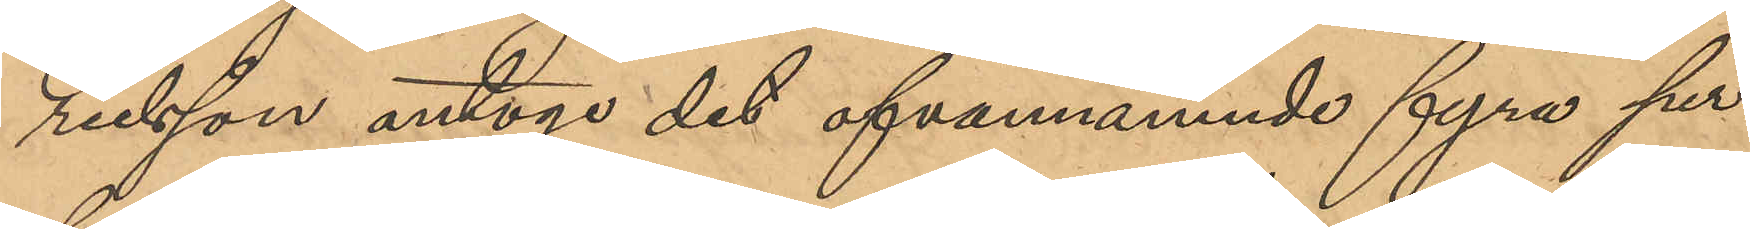rielsson antoge det ofvannämnde fyra per¬
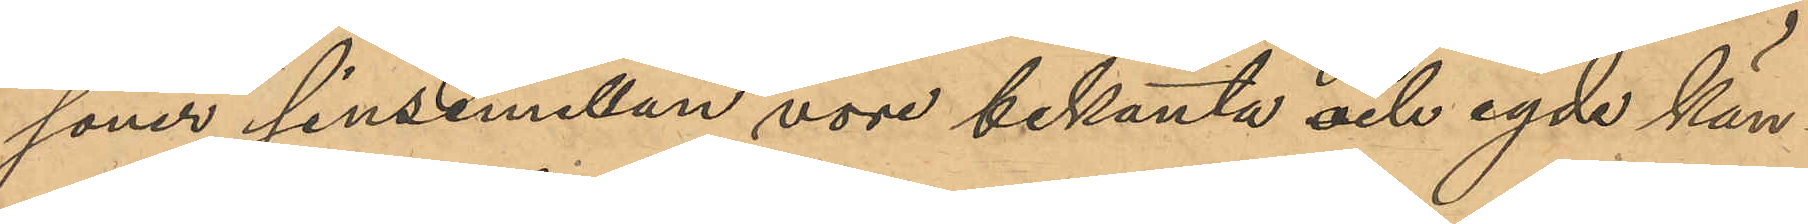soner sinsemellan vore bekanta och egde kän¬
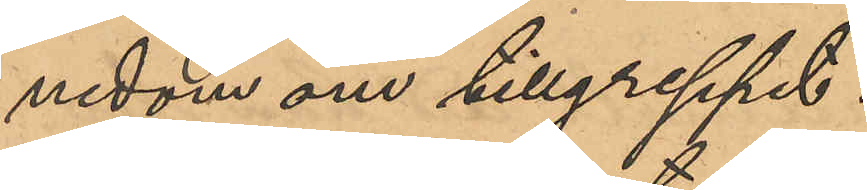nedom om tillgreppet.
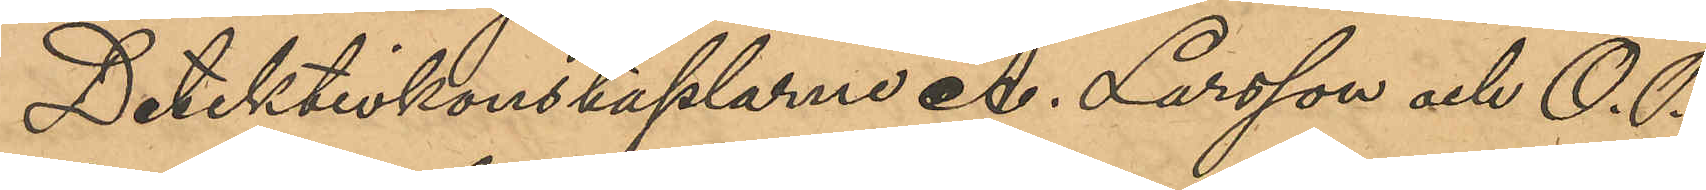Detektivkonstaplarne A. Larsson och O. P.
